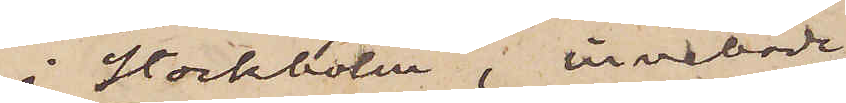i Stockholm, innehade
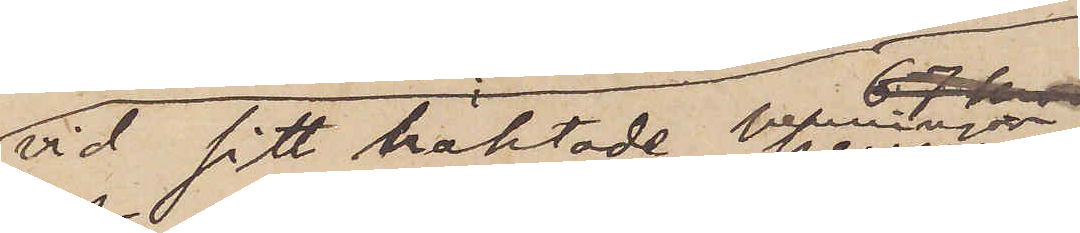vid sitt häktade penningar
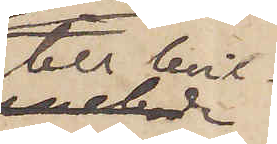till hvil¬
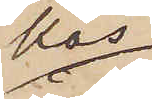kas
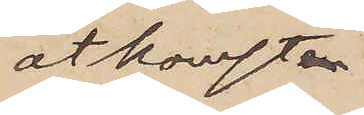åtkomst
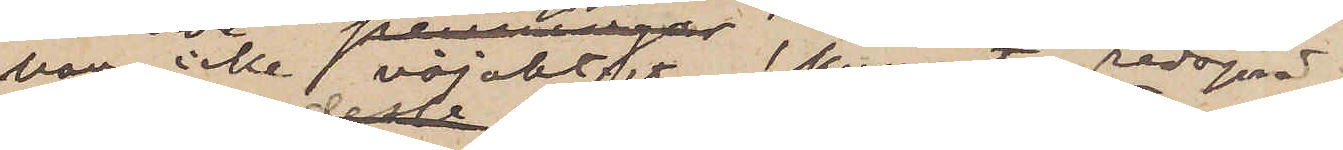han icke nöjaktigt kunnat redvisa.
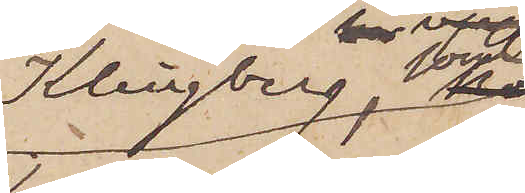Klingberg, som
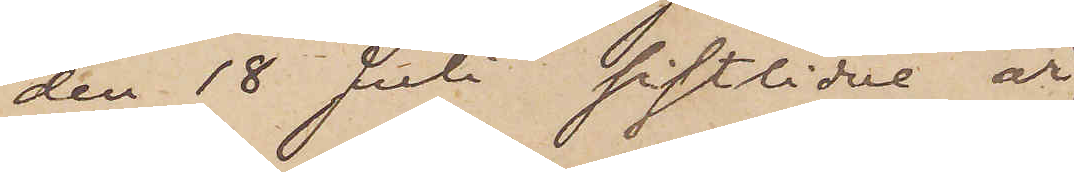den 18 Juli sistlidne år
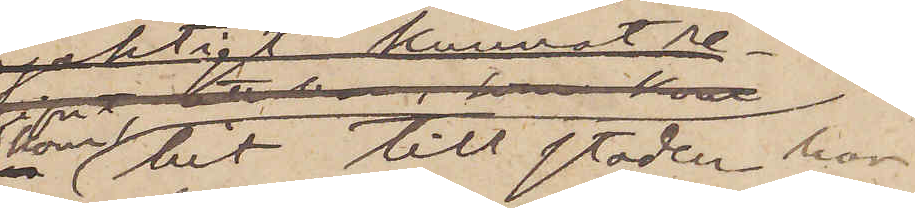kom hit till staden har
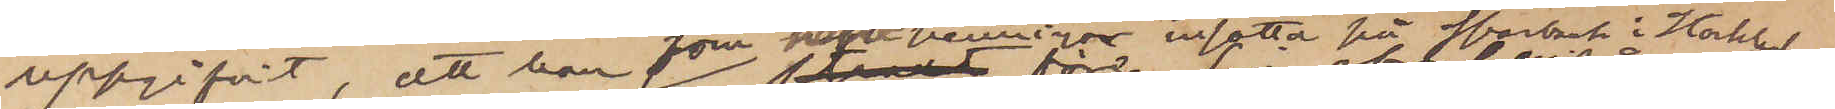uppgifvit, att han som hade penningar insatta på sparbank i Stockholm,
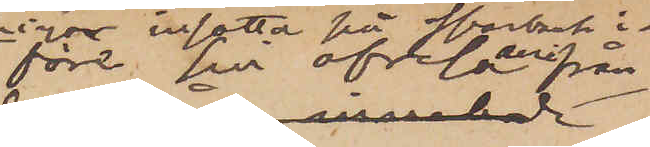före sin afresa hemifrån
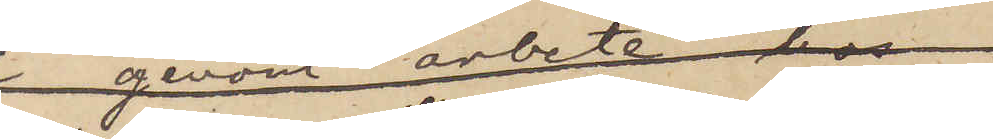ur banken uttagit 100 kronor, 
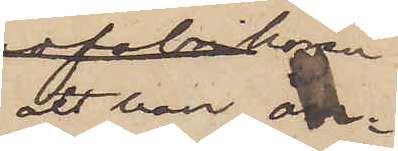att han än¬
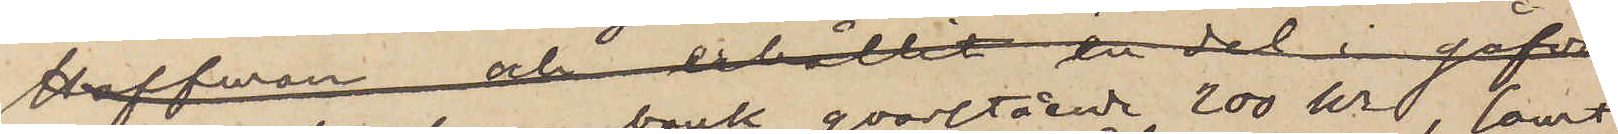nu hade på samma bank qvarstående 200 kr, samt 
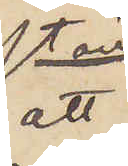att
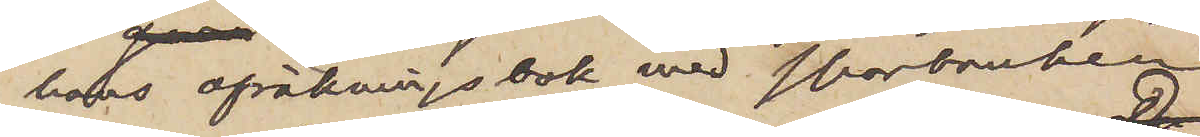hans afräkningsbok med sparbanken
